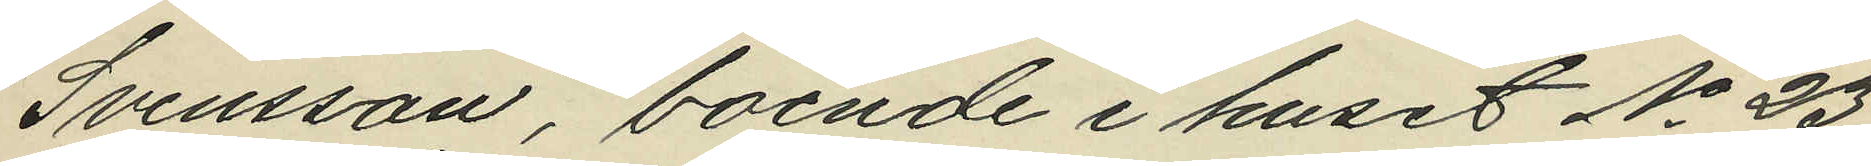Svensson, boende i huset No 23
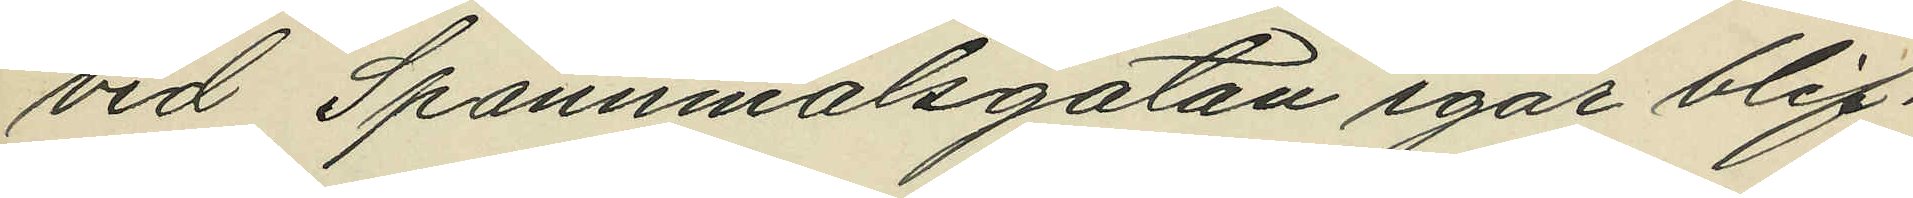vid Spannmålsgatan igår blif¬
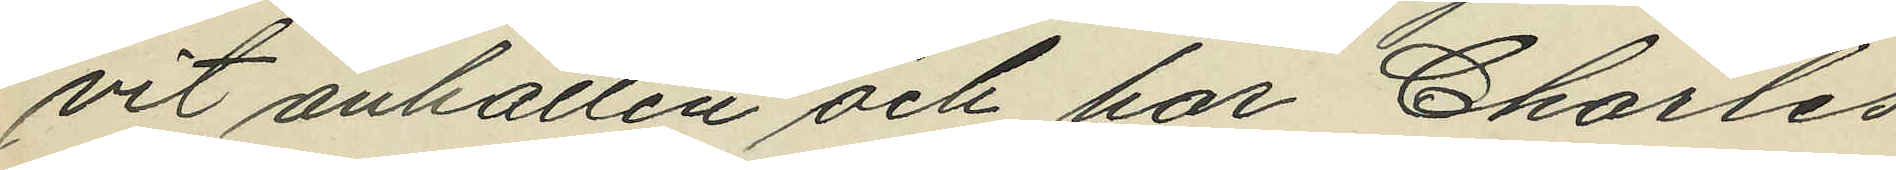vit anhållen och har Charles
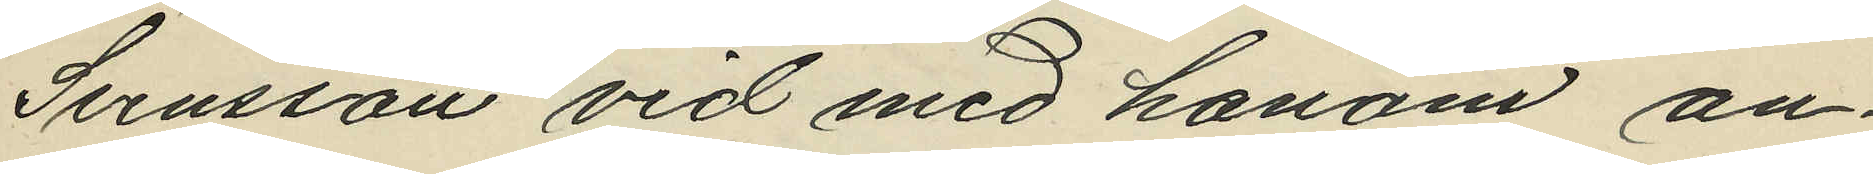Svensson vid med honom an¬
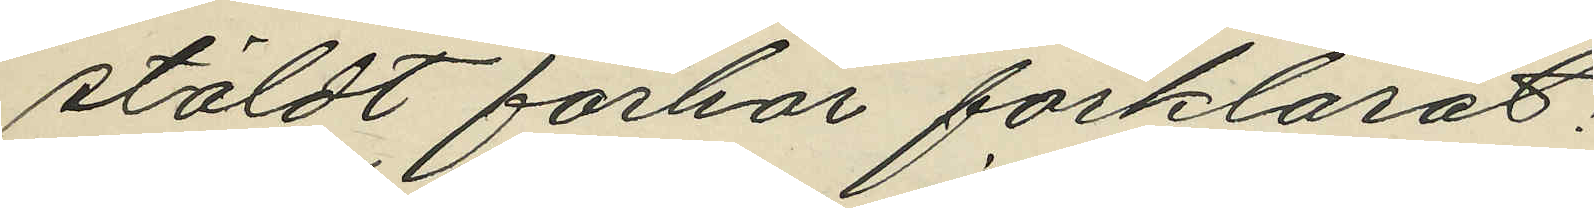stäldt förhör förklarat:
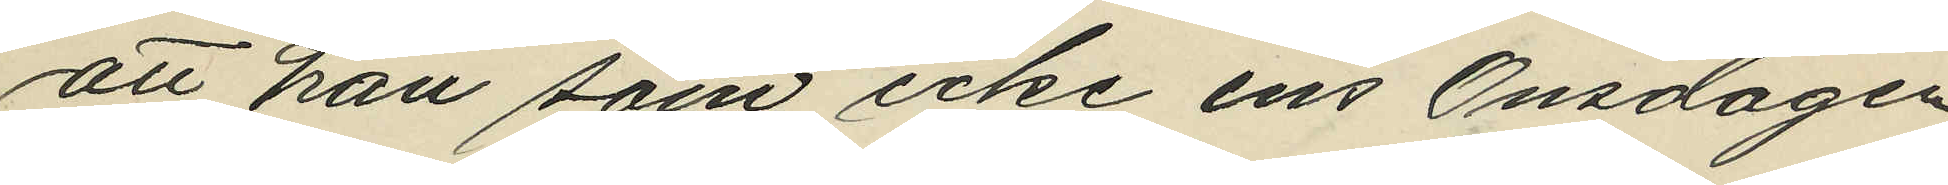att han som icke ens Onsdagen
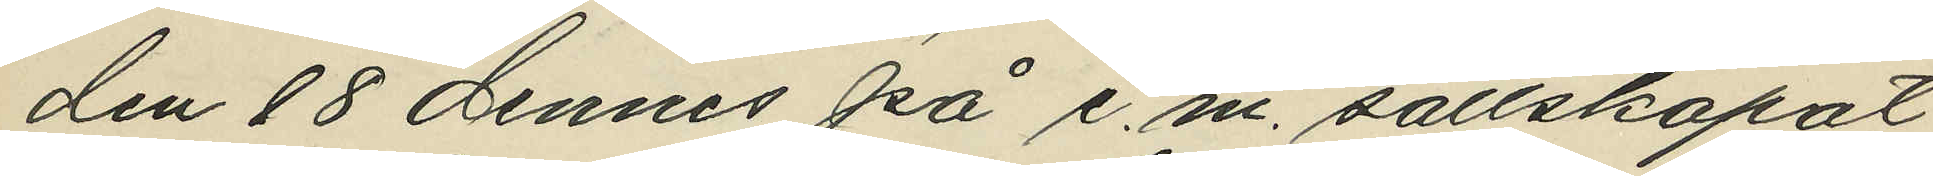den 18 dennes på e.m. sällskapat
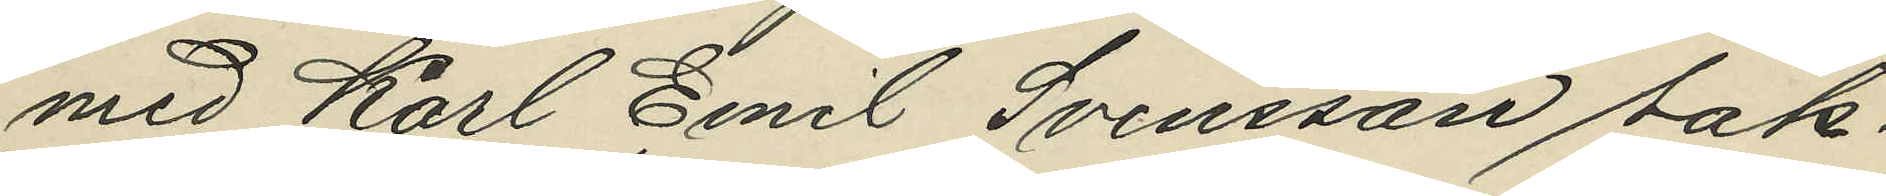med Karl Emil Svensson sak¬
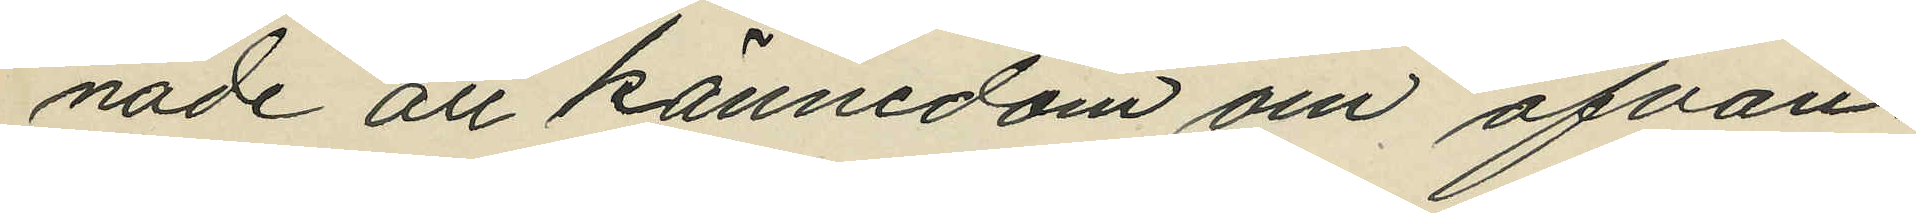nade all kännedom om ofvan¬
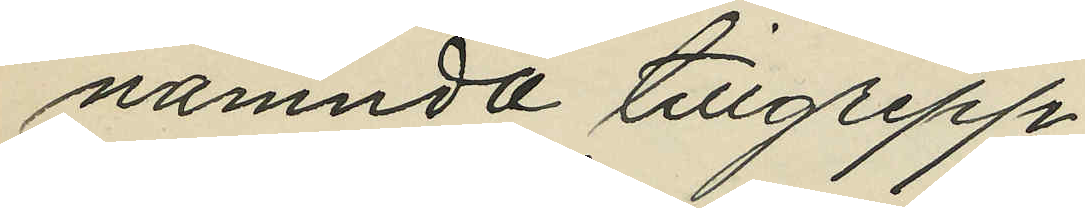nämnda tillgrepp.
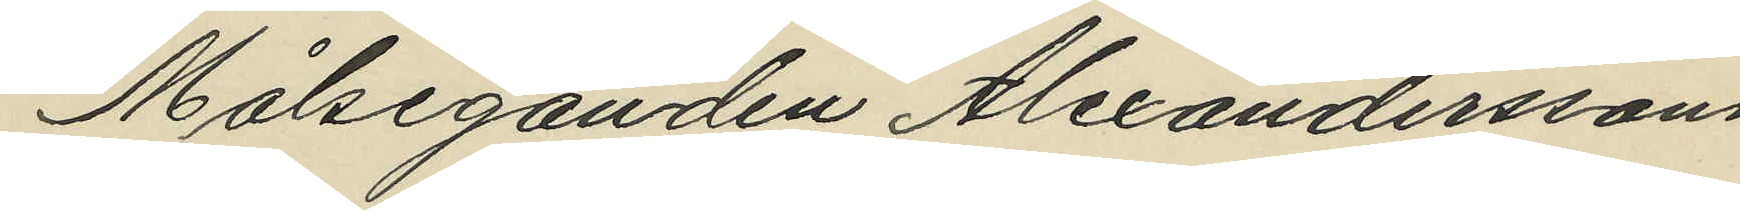Målseganden Alexanderssons
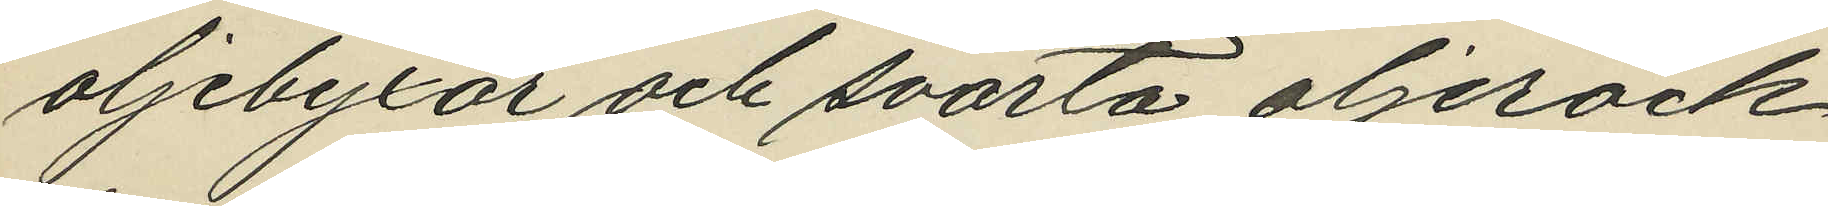oljebyxor och svarta oljerock
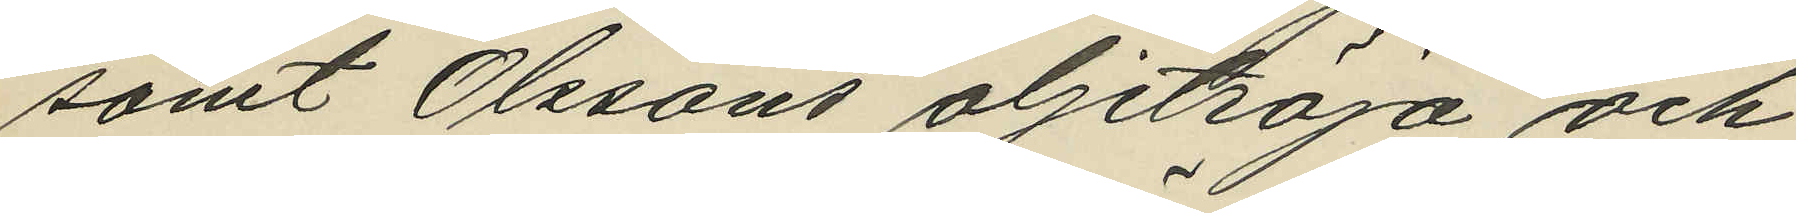samt Olssons oljetröja och
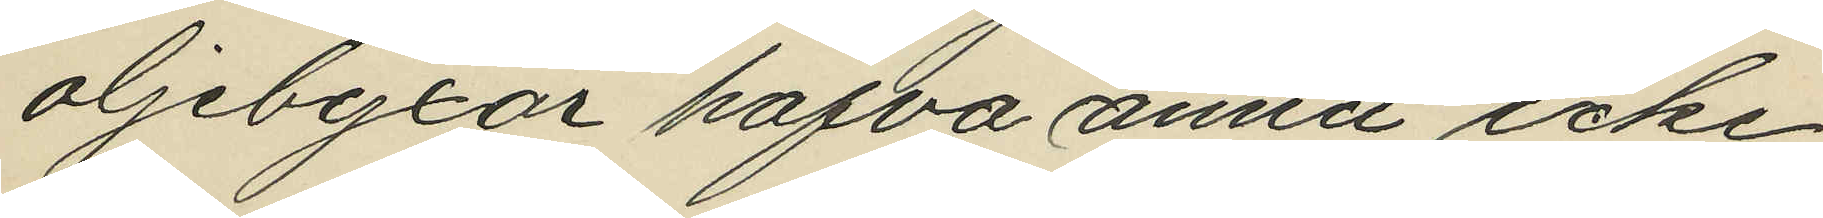oljebyxor hafva ännu icke
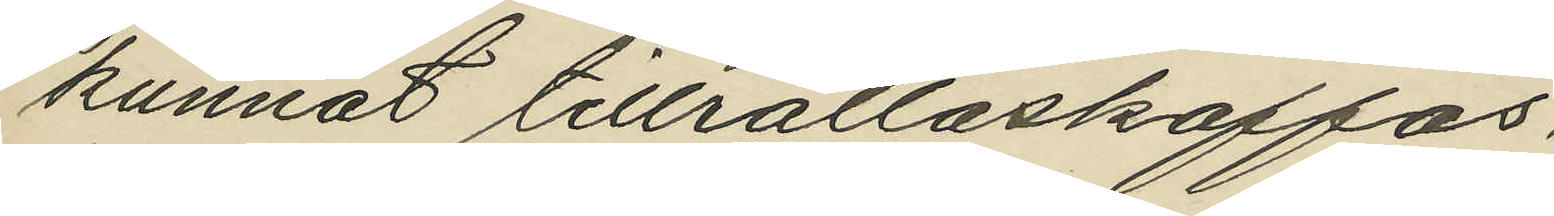kunnat tillrättaskaffas.
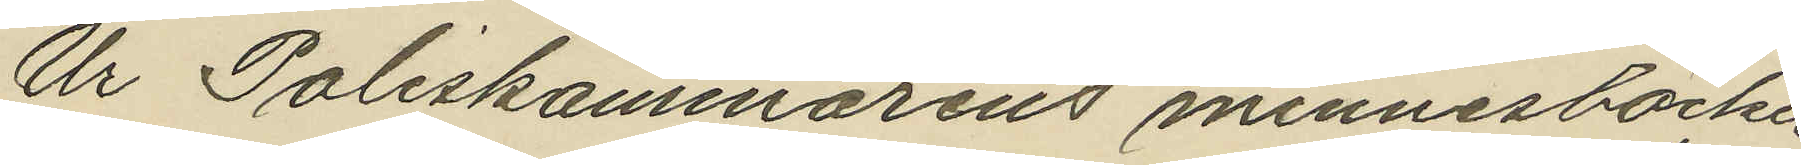Ur Poliskammarens minnesböcker
